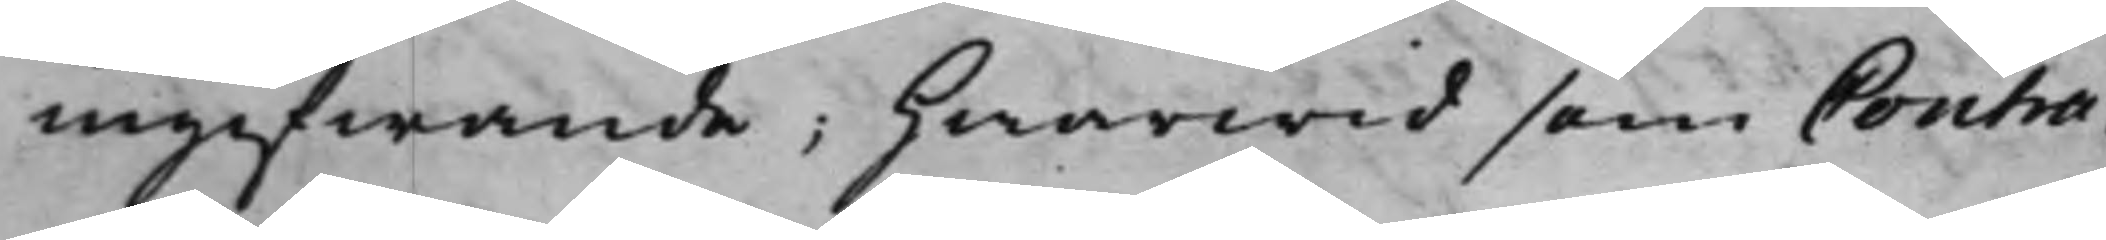ingifwande; Hwarwid som Contra¬
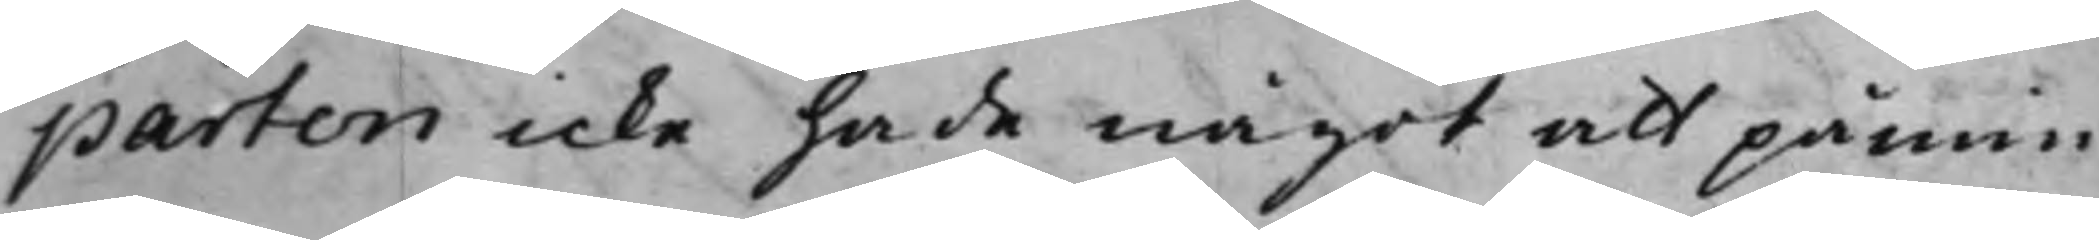parten icke hade något att påmin¬
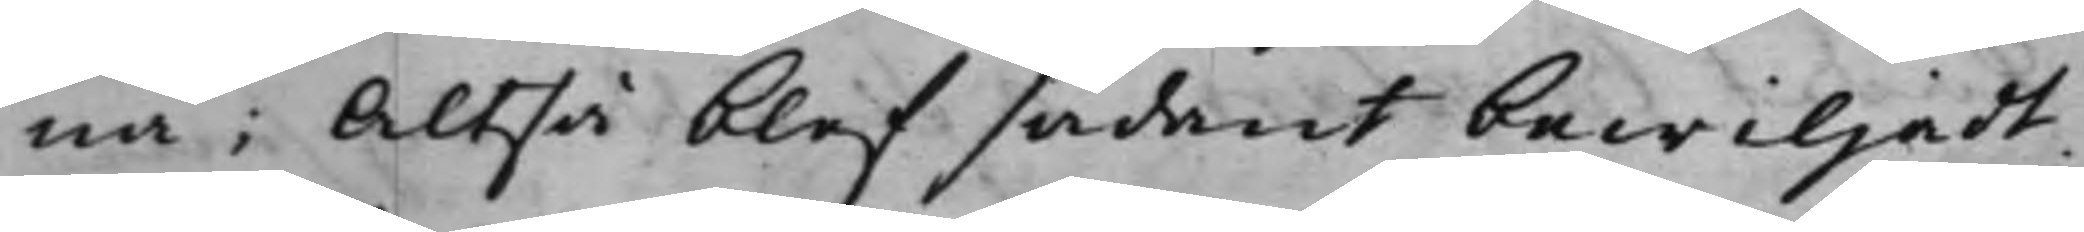na; Altså blef sådant bewiljadt.
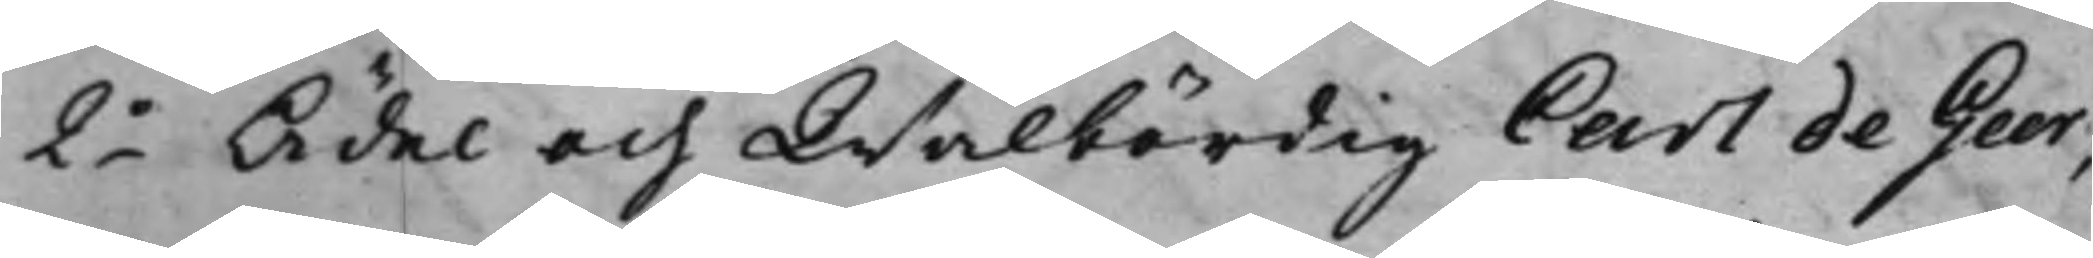2o Ädel och Wälbördig Carl de Geer;
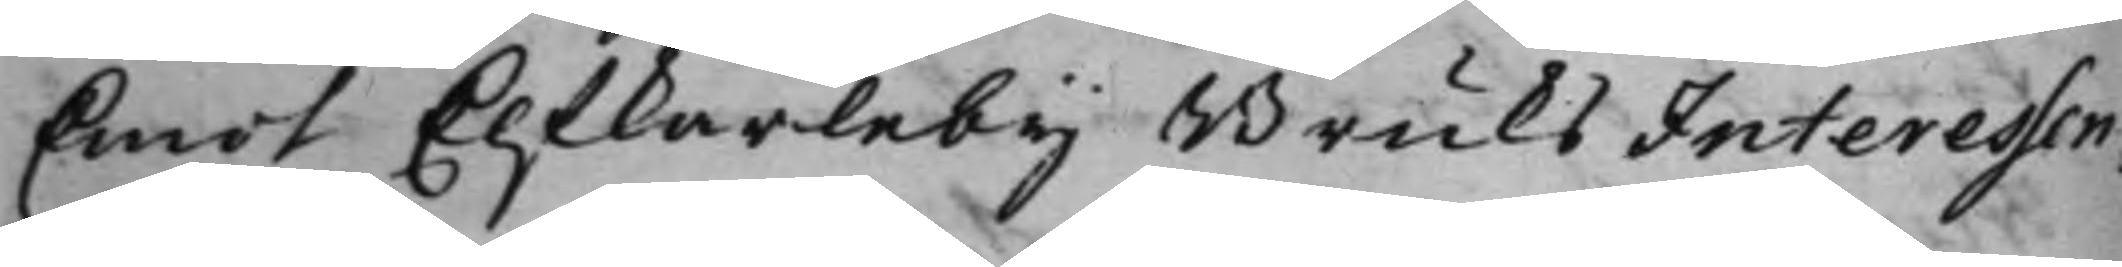Emot Elfkarleby Bruks Interessen¬
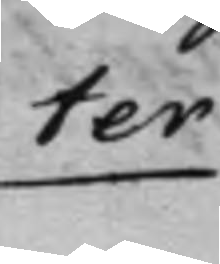ter
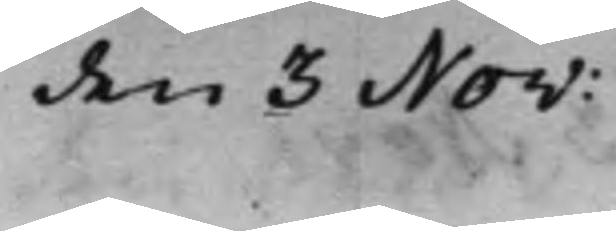den 3 Nov:
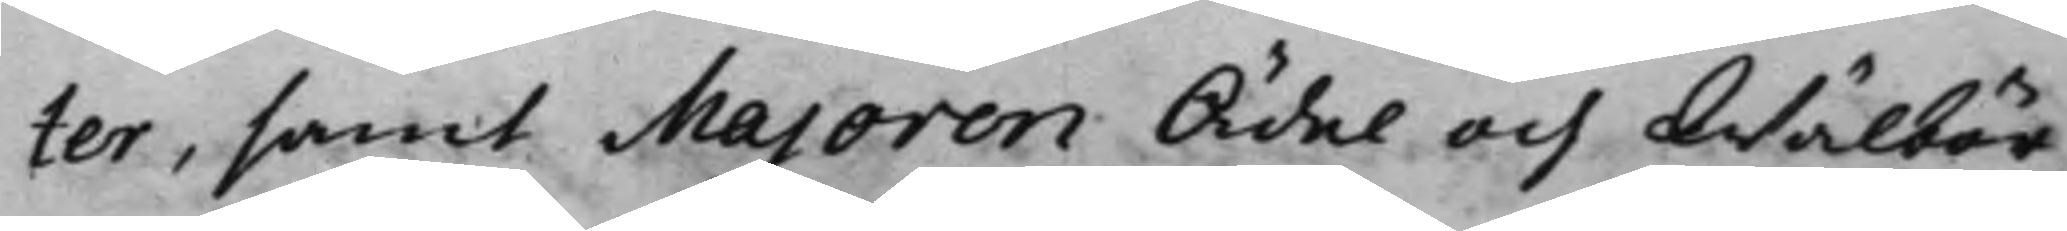ter, samt Majoren Ädel och Wälbör¬
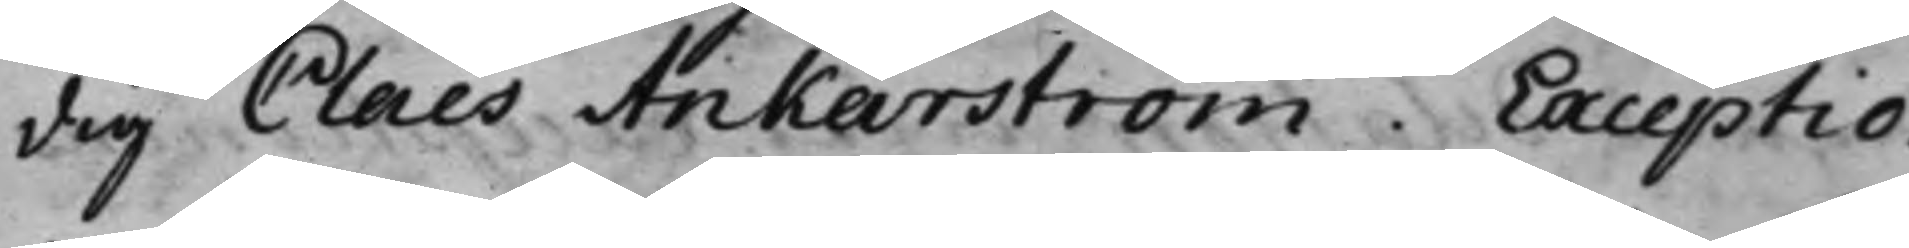dig Claes Ankarström. Exceptio.
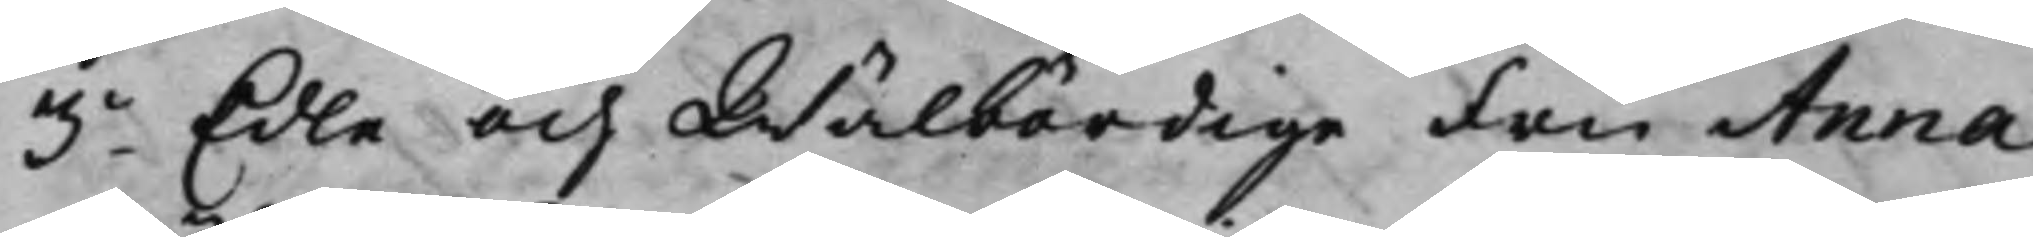3o Edle och Wälbördige Fru Anna
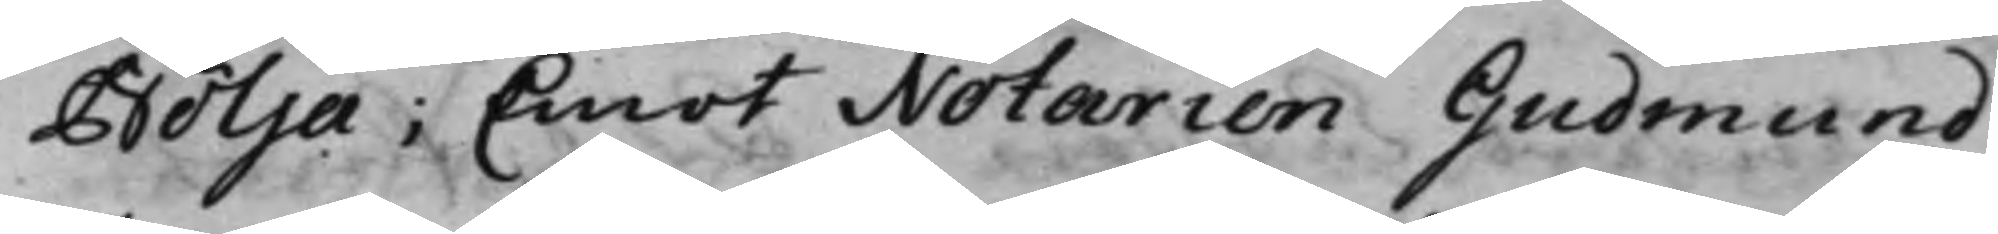Bölja; Emot Notarien Gudmund
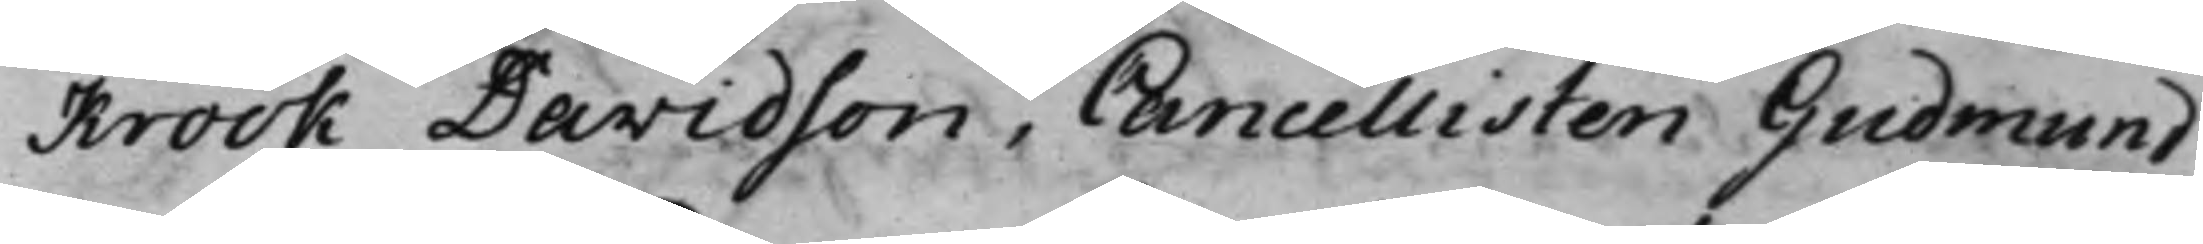Krook Davidson, Cancellisten Gudmund
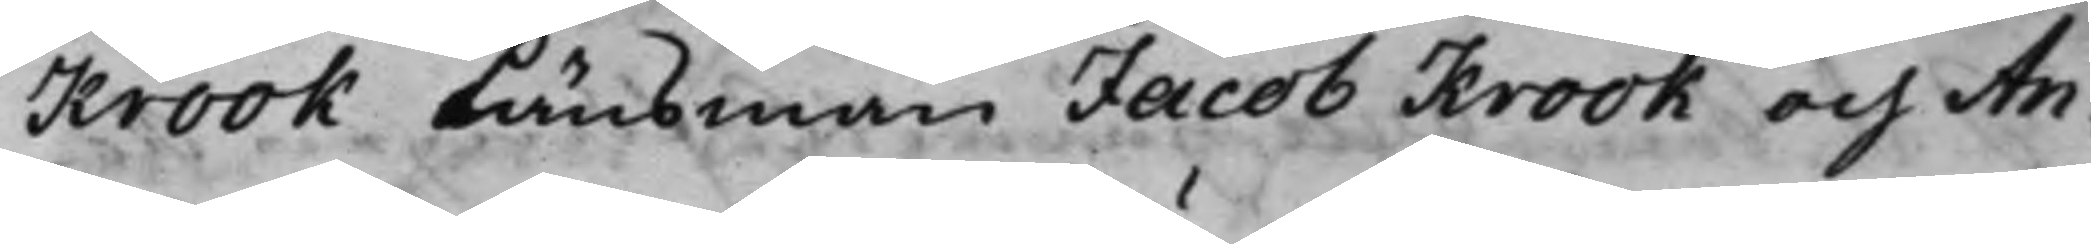Krook Länsman Jacob Krook och An¬
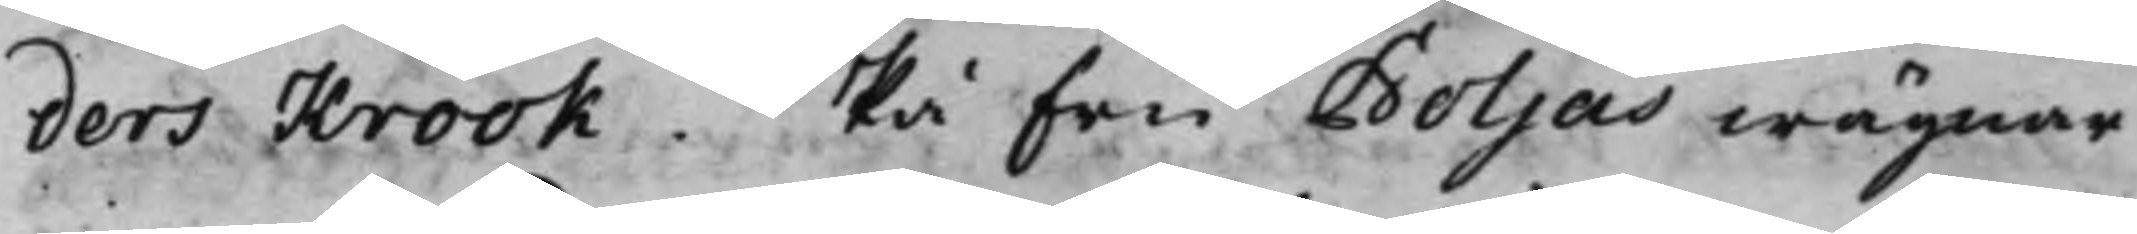ders Krook. På Fru Boljas wägnar
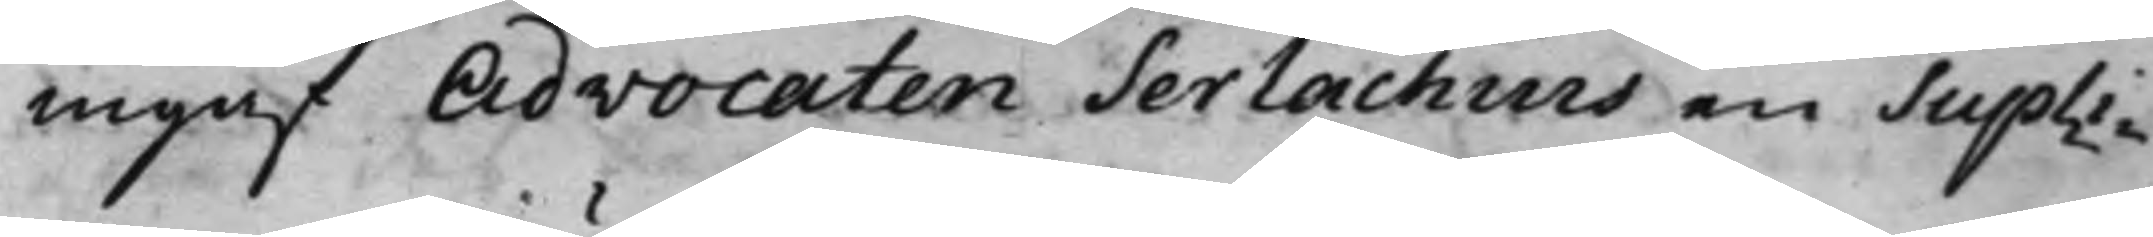ingaf Advocaten Serlachius en Supli¬
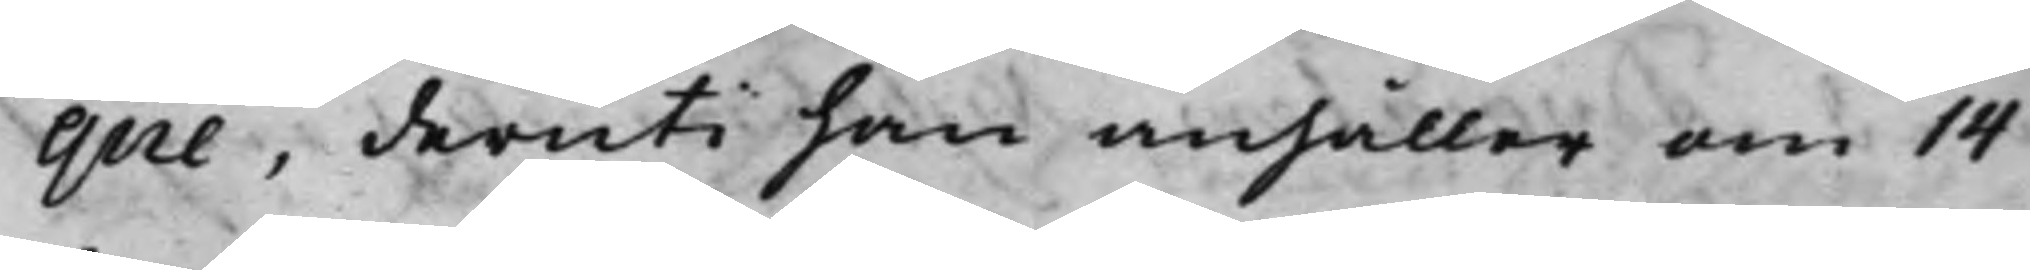que, deruti han anhåller om 14
